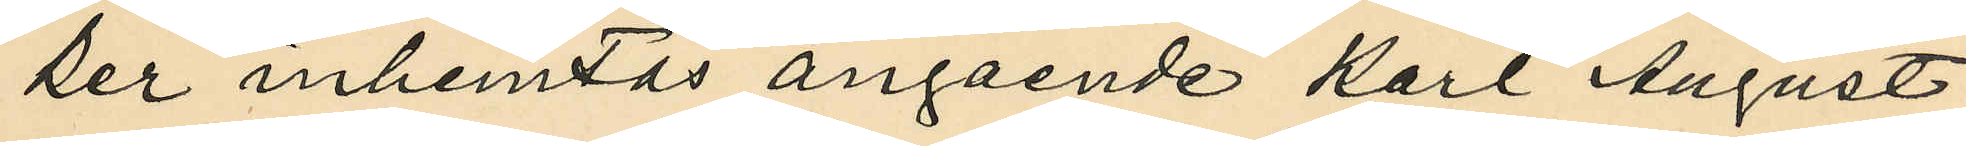ker inhemtas angående Karl August
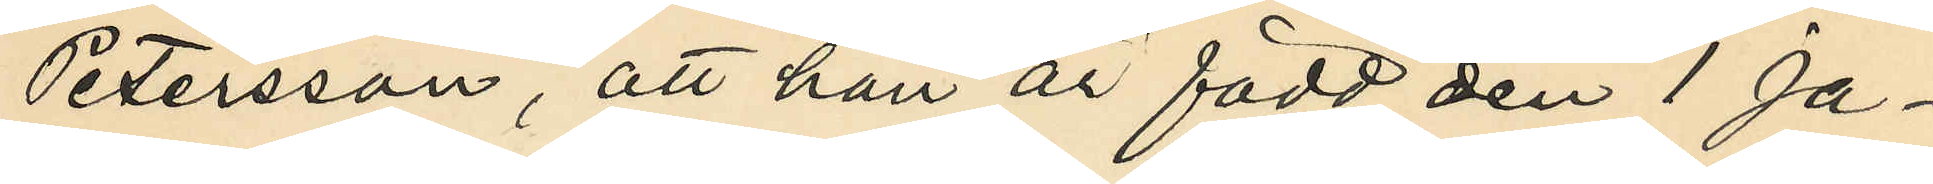Petersson, att han är född den 1 Ja¬
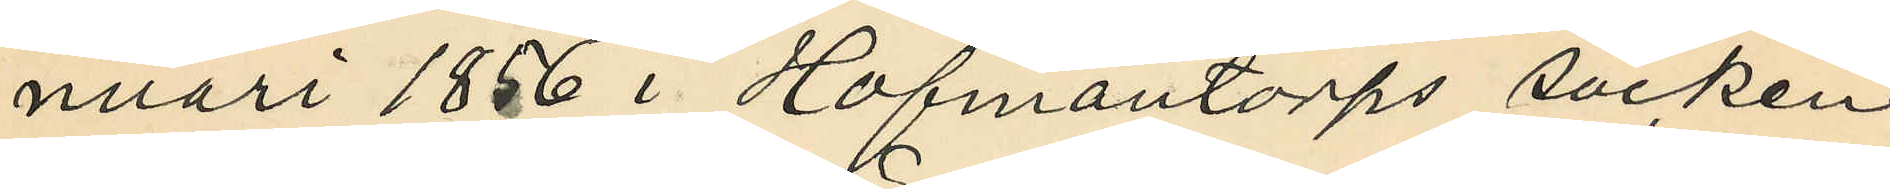nuari 1856 i Hofmantorps socken
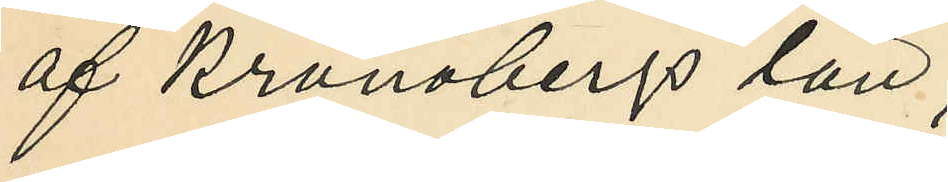af Kronobergs län;
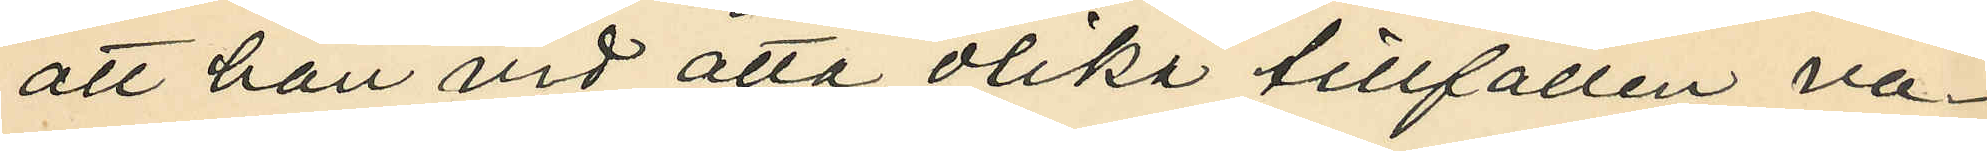att han vid åtta olika tillfällen va¬
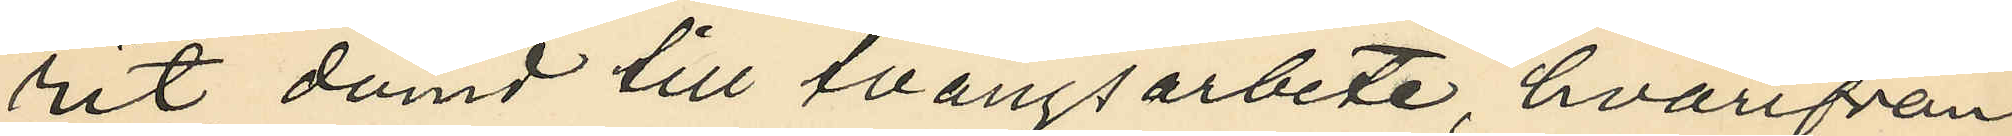rit dömd till tvångsarbete, hvarifrån
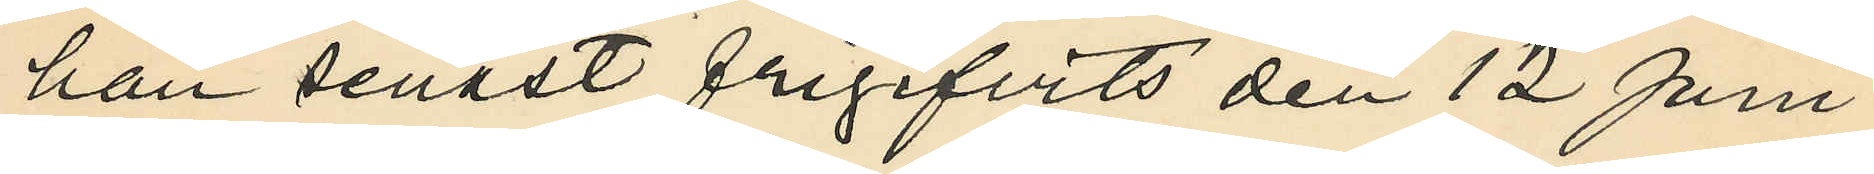han senast frigifvits den 12 Juni
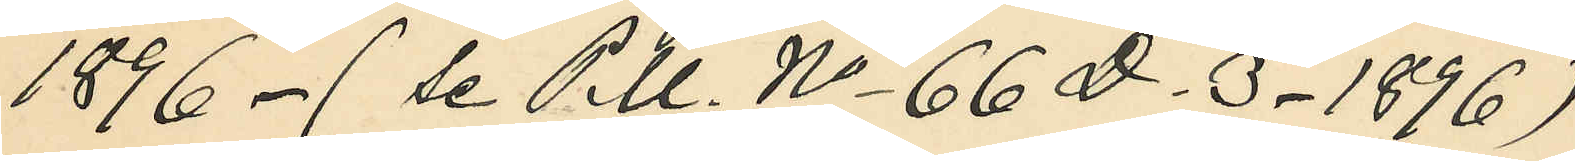1896 - (se P.U. No 66 D. 3 - 1896);
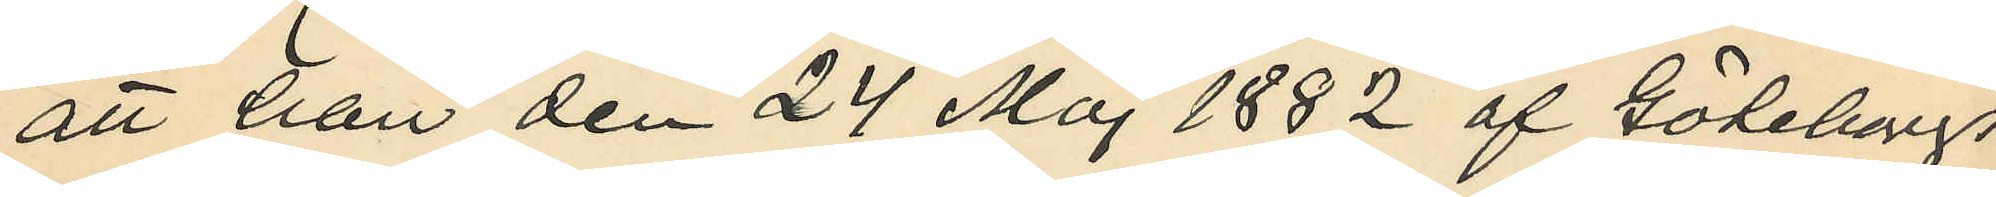att han den 24 Maj 1882 af Göteborgs
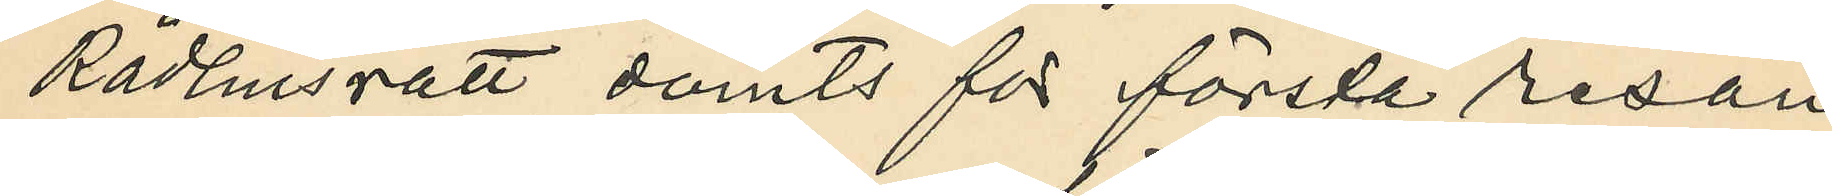Rådhusrätt dömts för första resan
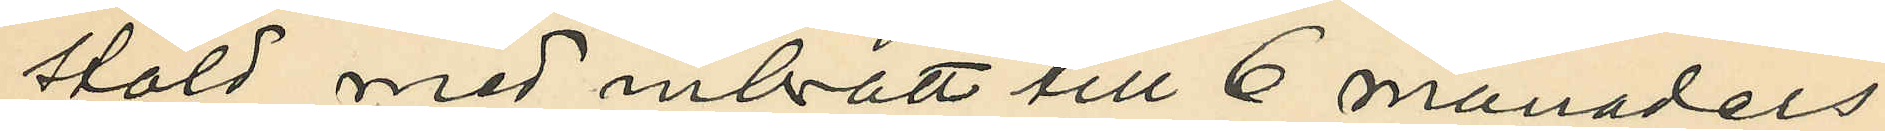stöld med inbrott till 6 månaders
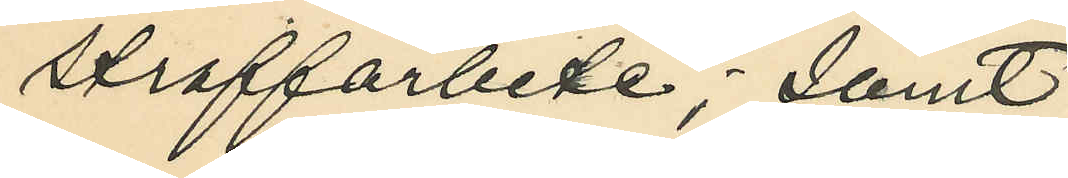straffarbete; samt
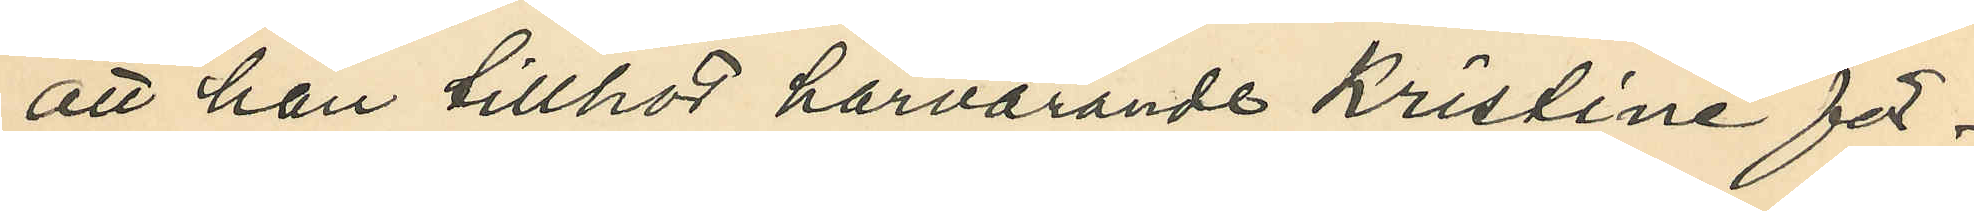att han tillhör härvarande Kristine för¬
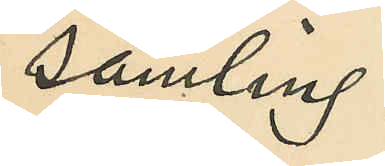samling.
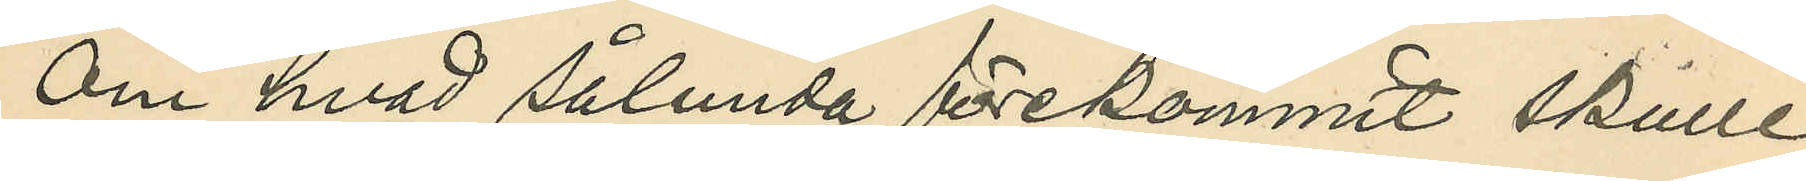Om hvad sålunda förekommit skulle
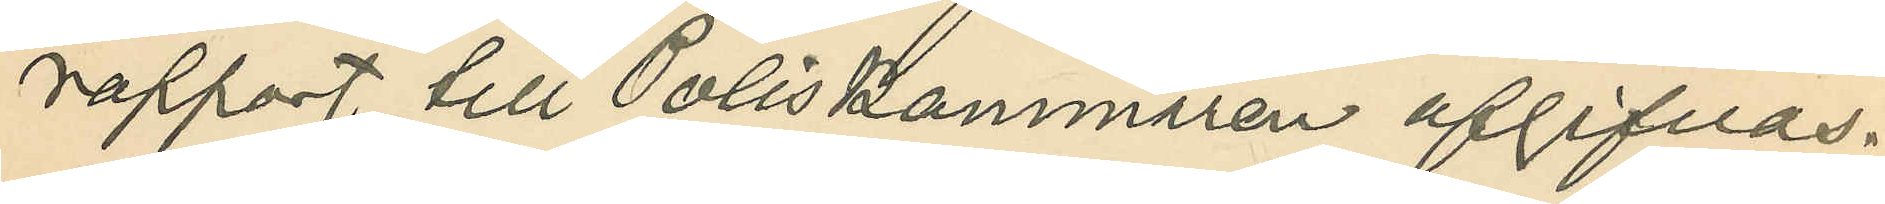rapport till Poliskammaren afgifvas.
